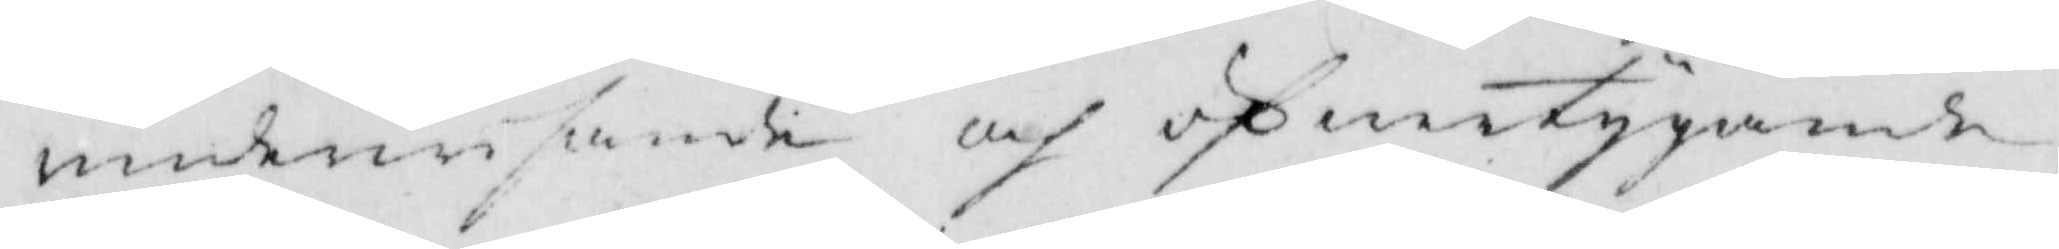underwisande och öfwertygande,
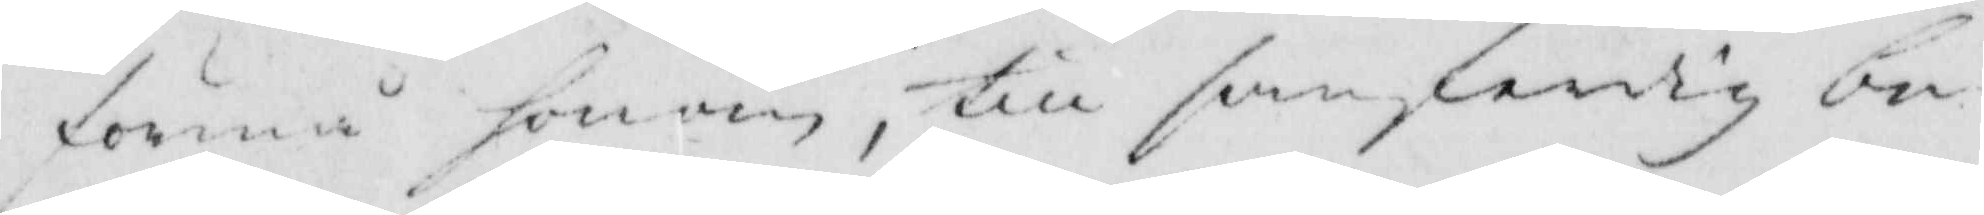förmå honom, till sanferdig be¬
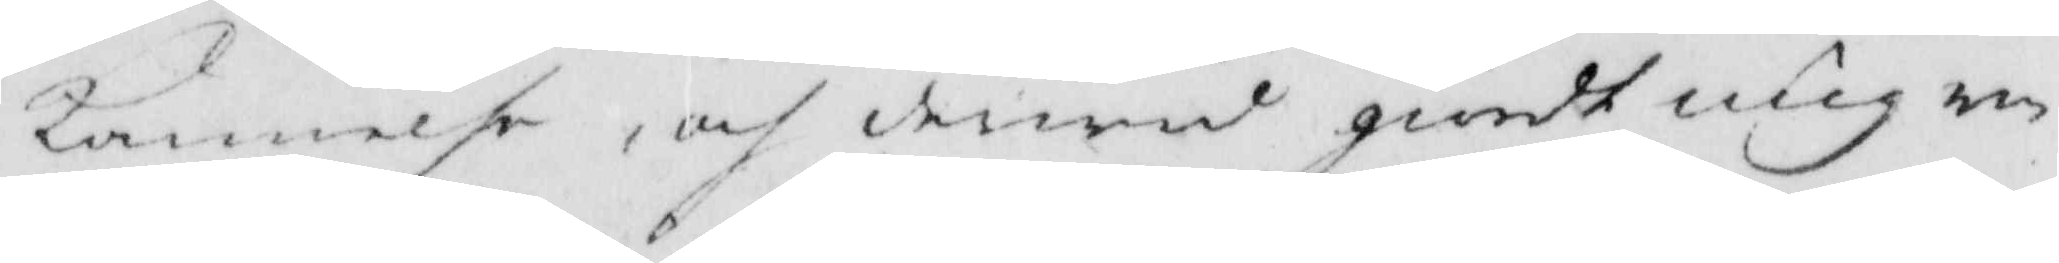kennelse, och derwid giordt mig un¬
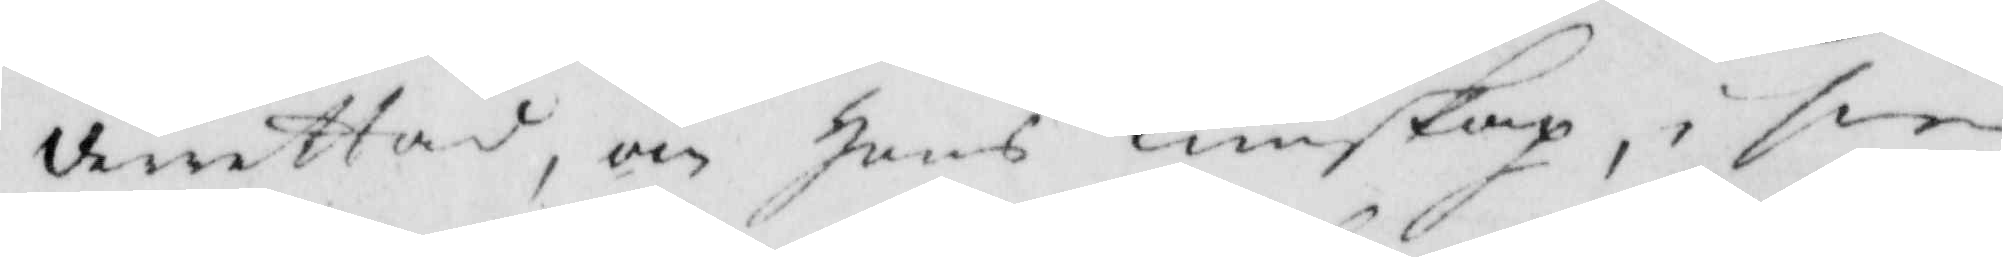derettad, om hans Kunskap, i sin
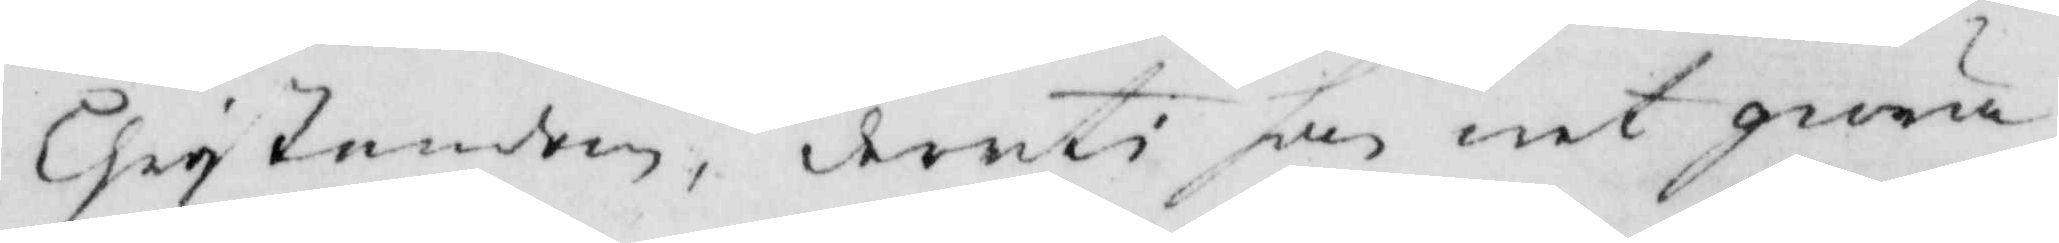Christendom, deruti han vet giöra
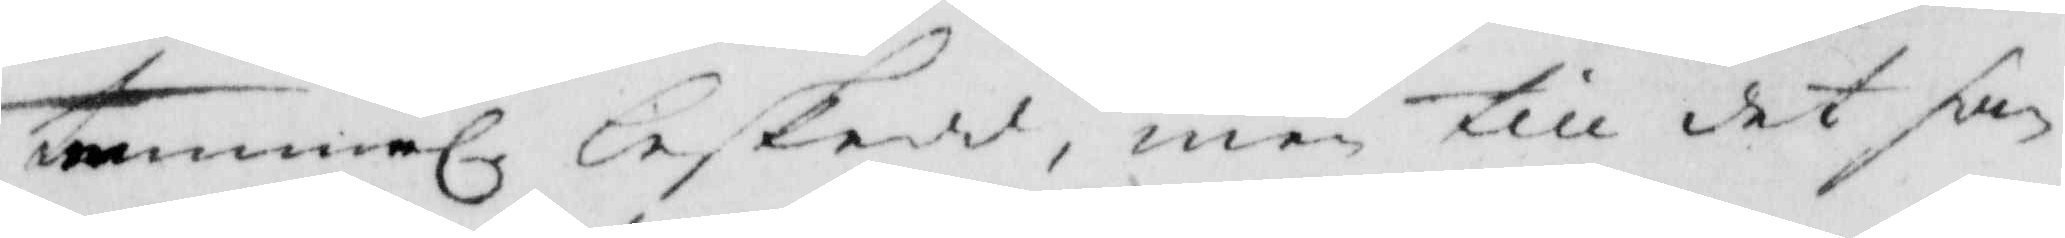temmel. beskedd; men till det han
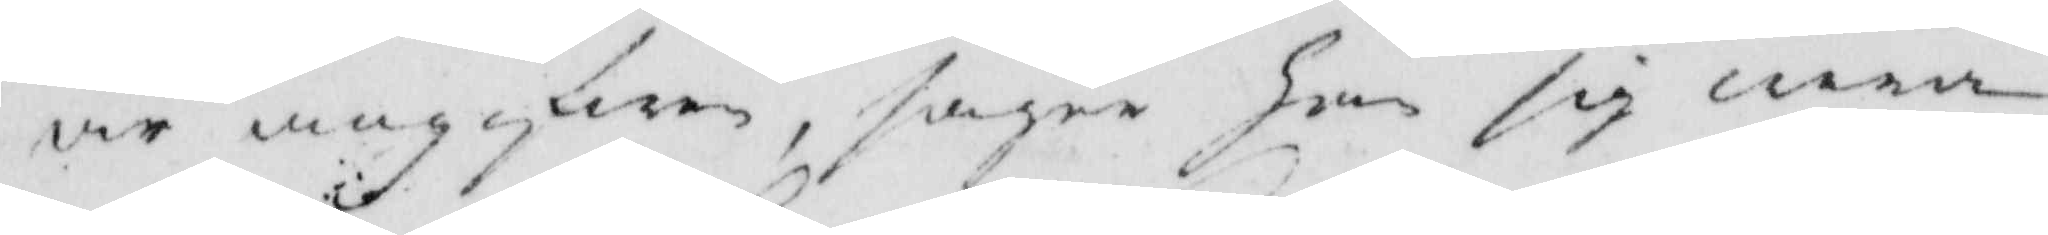är angifwen, sger han sig wara
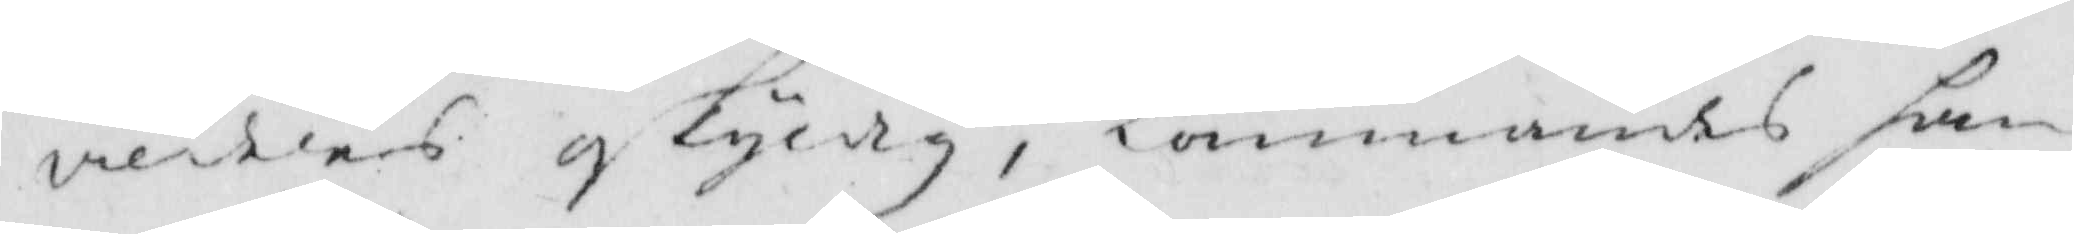verdens oskyldig, Kommandes han
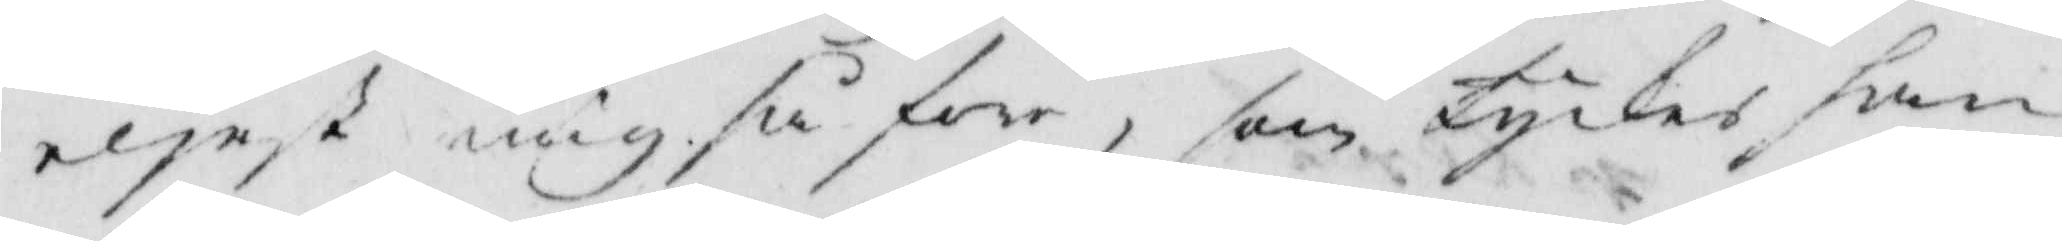eljest mig så för, som tyckes han
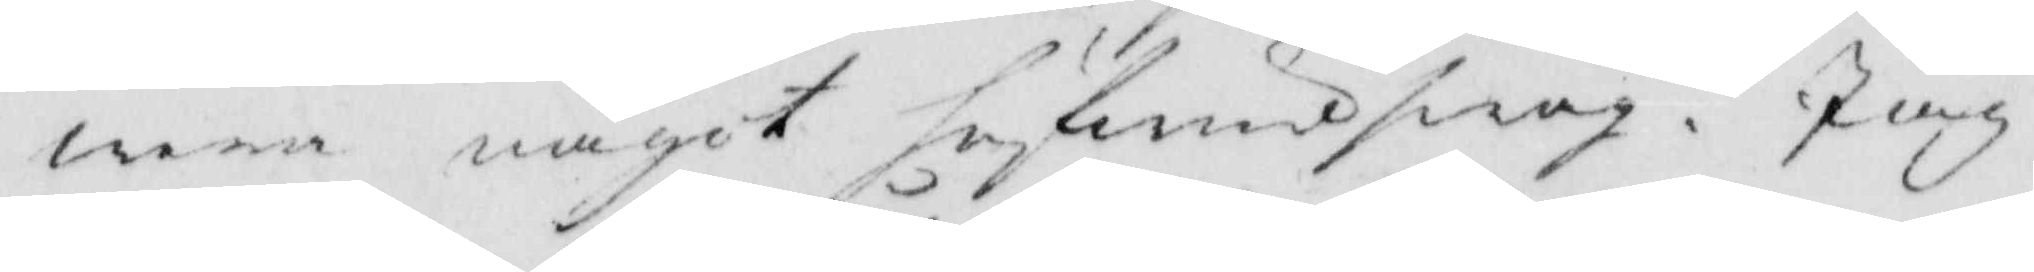wara ngot hufwudswag. Jiag
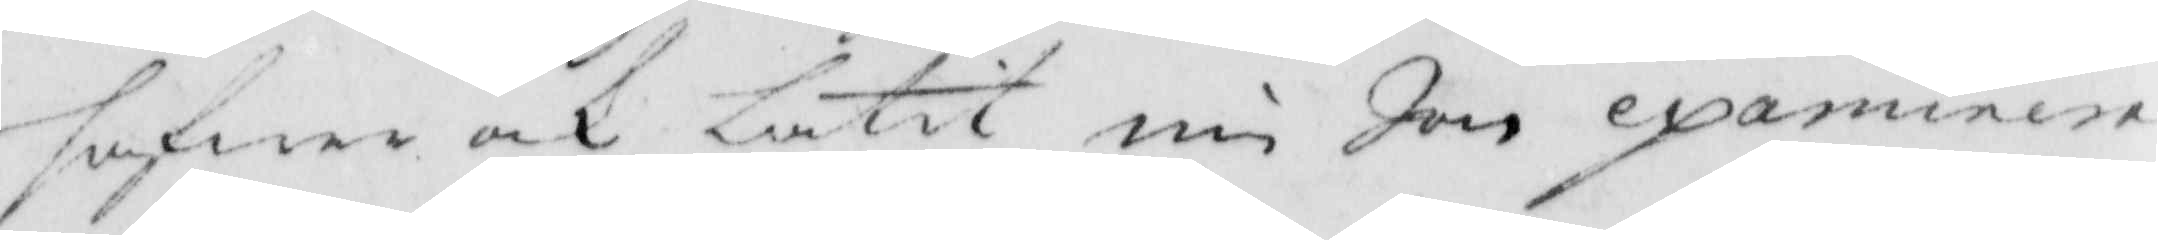hafwer och låtit nu Jon examinera
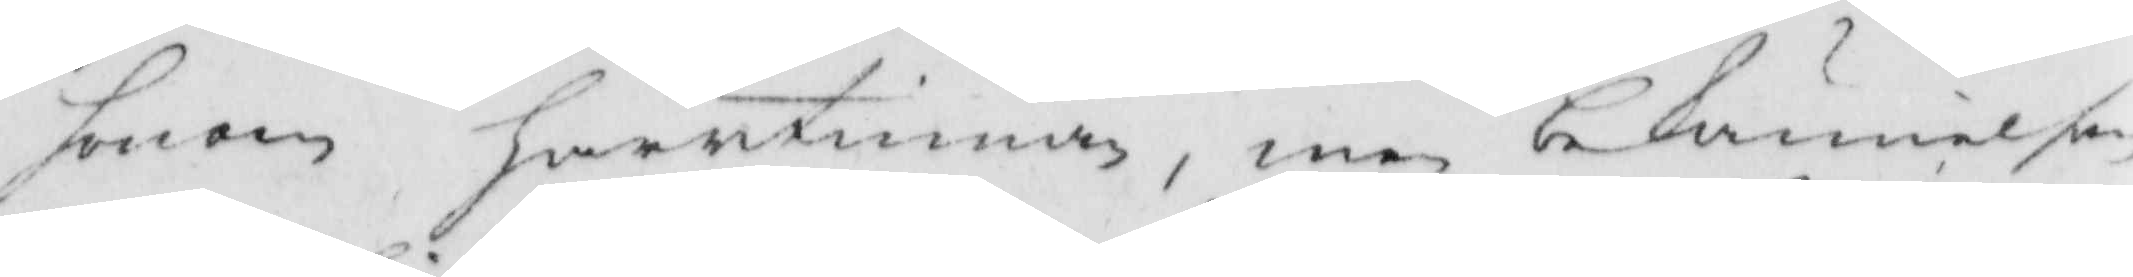honom härutinnan, men bekännelsen
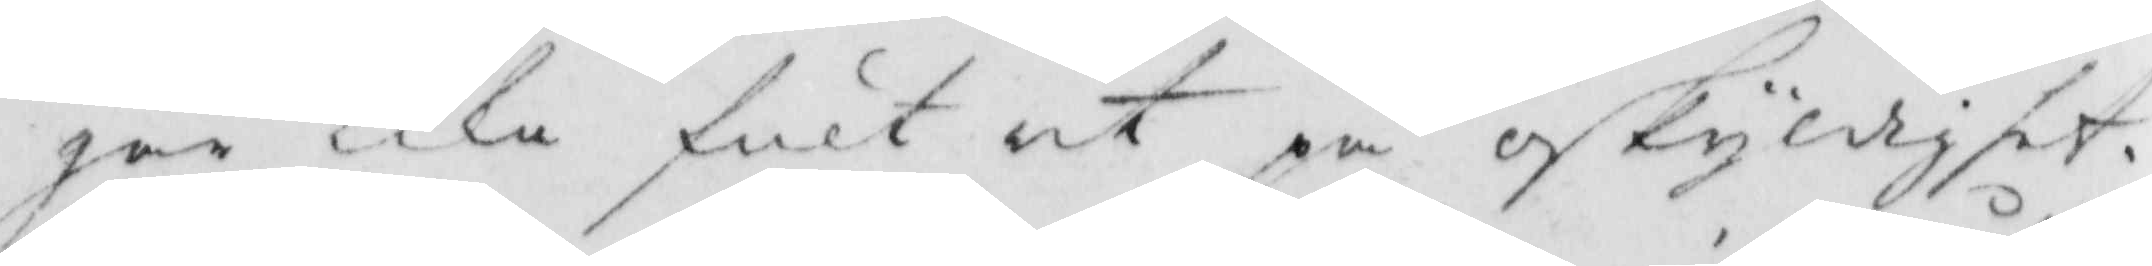går lika fult ut på oskyldighet
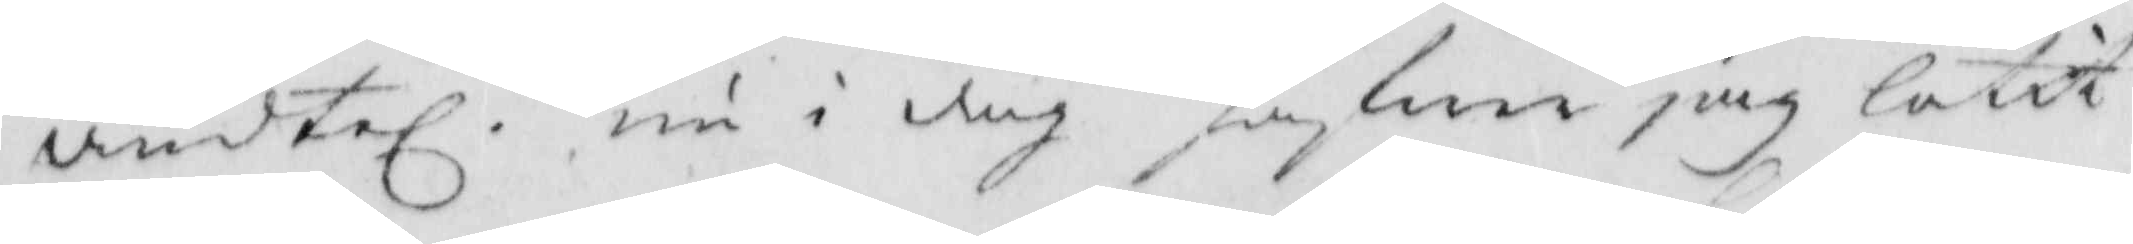ändtel. nu i dag hafen jiag låtit
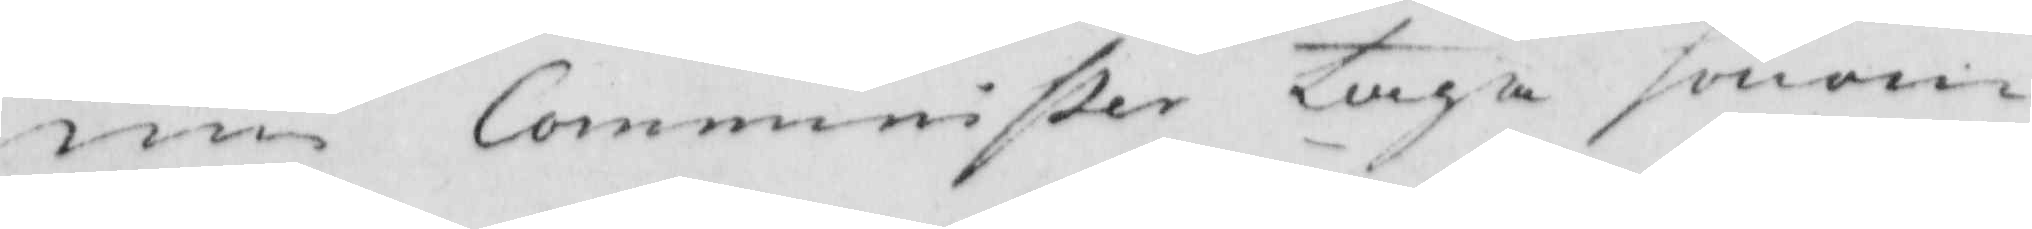min Comminister taga honom
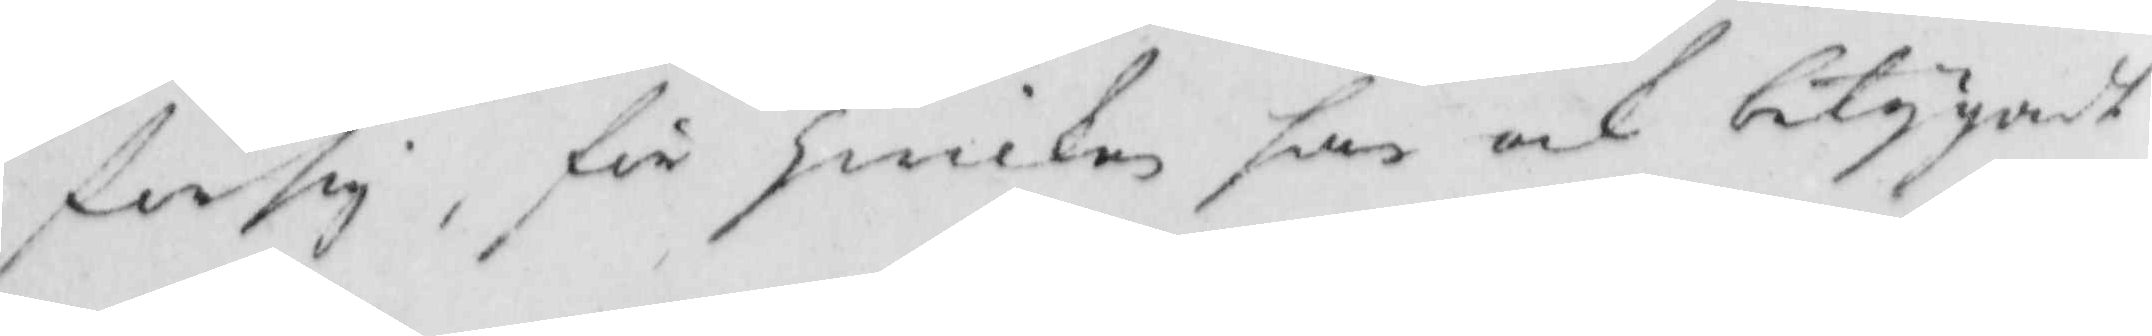försig, för hwilken han och betygadt
